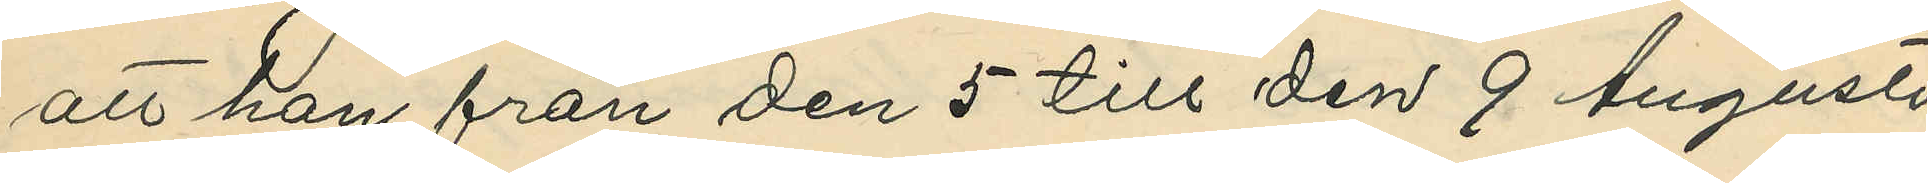att han från den 5 till den 9 Augusti
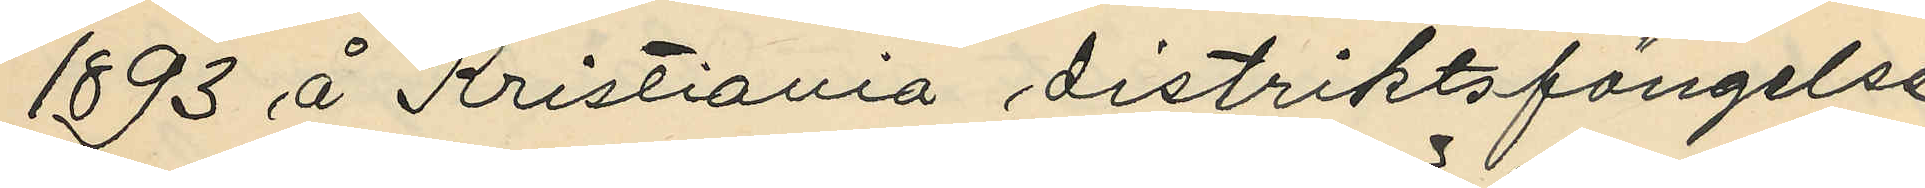1893 å Kristiania distriktsfängelse
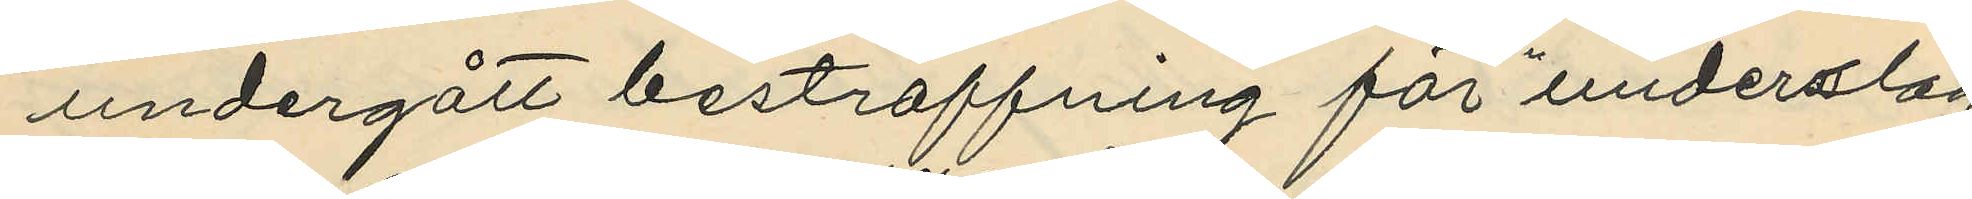undergått bestraffning för "underslag"
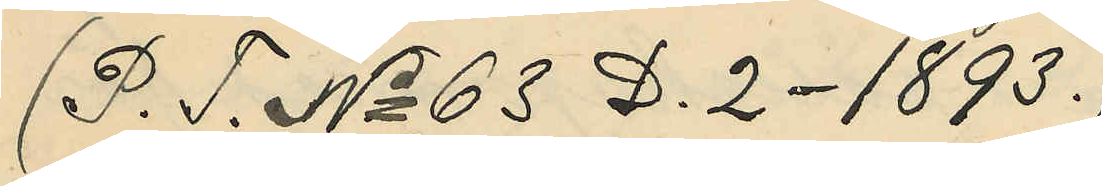(P. T. No 63 D. 2 - 1893.)
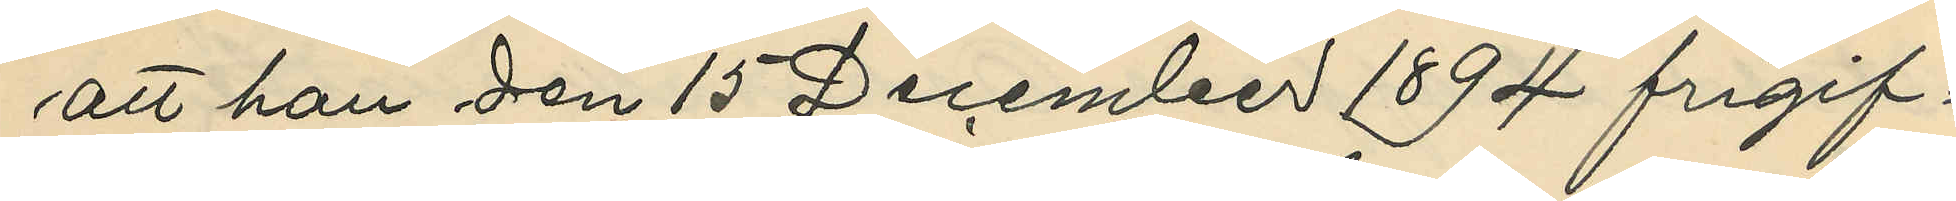att han den 15 December 1894 frigif¬
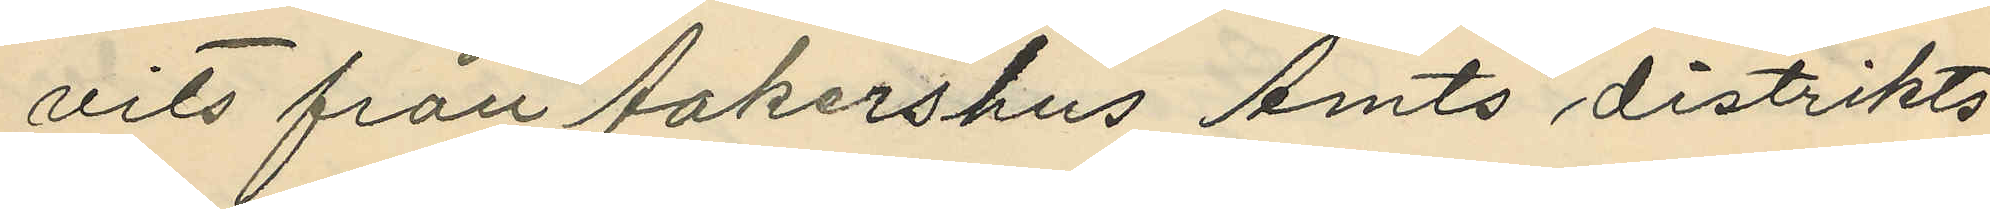vits från Aakershus Amts distrikts¬
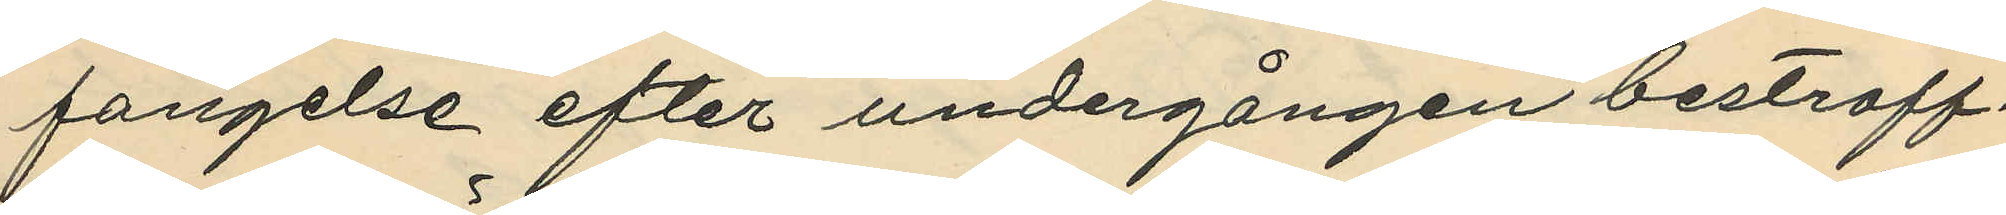fangelse efter undergången bestraff¬
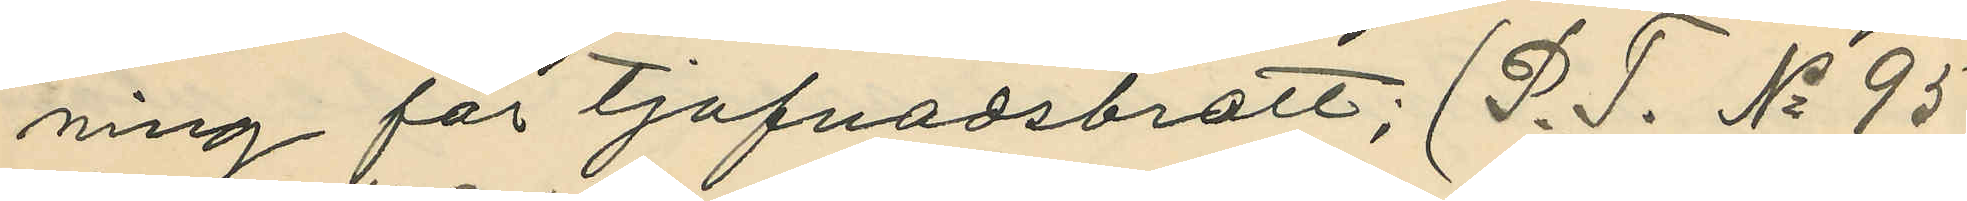ning för tjufnadsbrott; (P. T. No 95
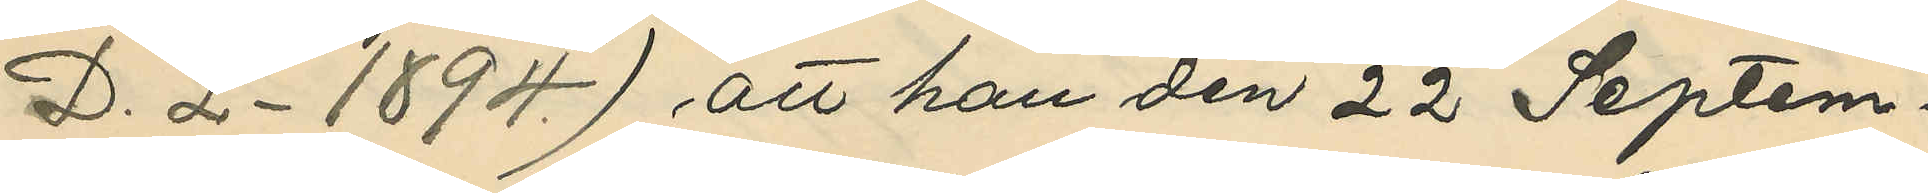D. 2 - 1894.) att han den 22 Septem¬
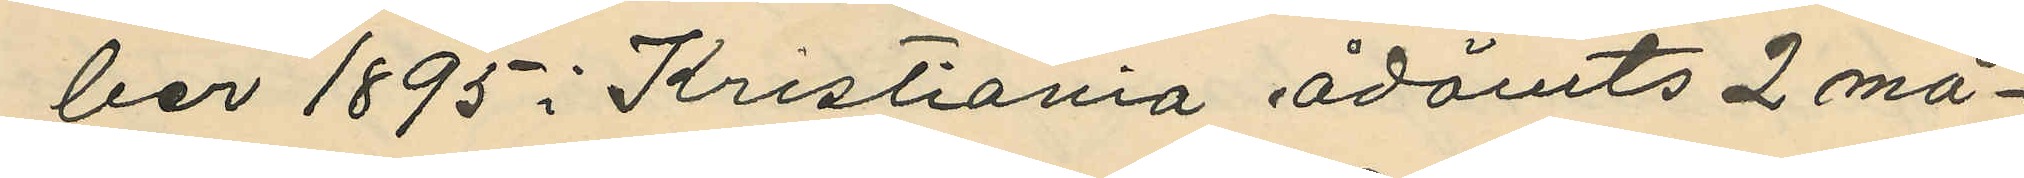ber 1895 i Kristiania ådömts 2 må¬
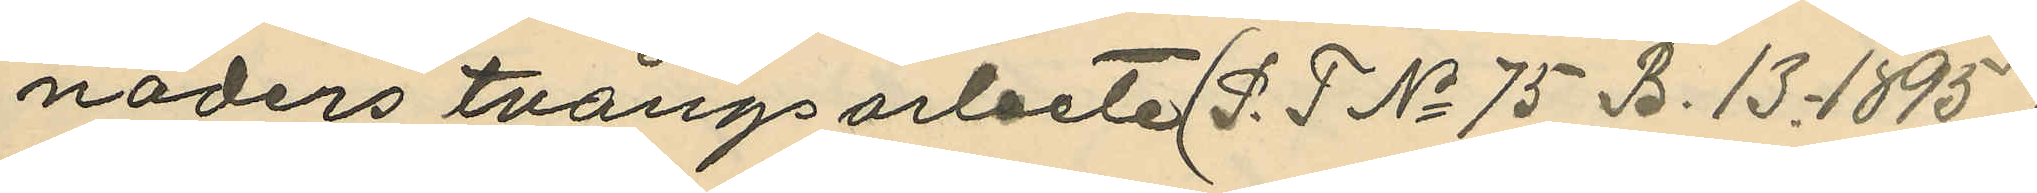naders tvångsarbete (P. T No 75 B. 13 - 1895)
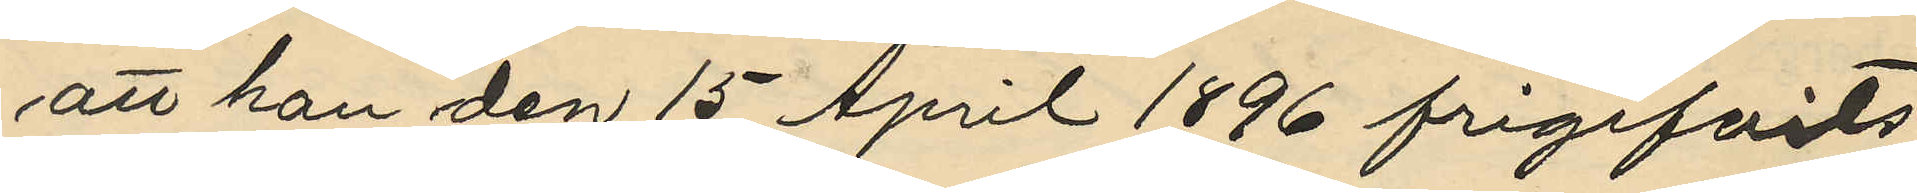att han den 15 April 1896 frigifvits
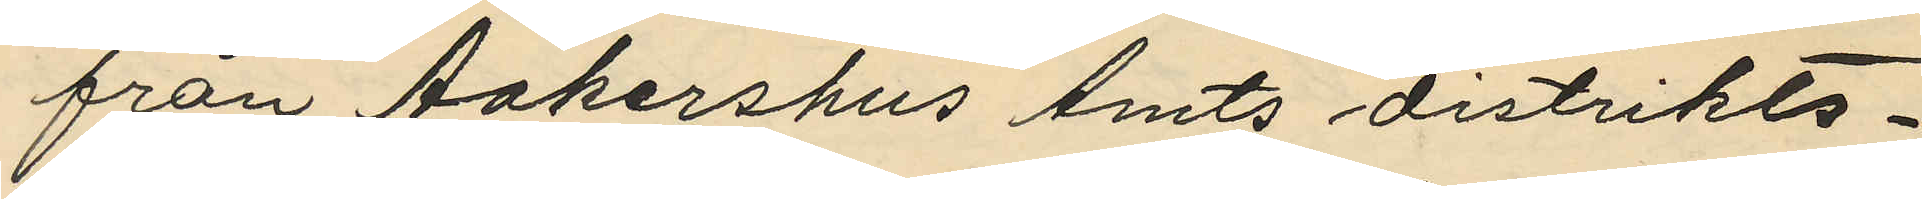från Aakershus Amts distrikts¬
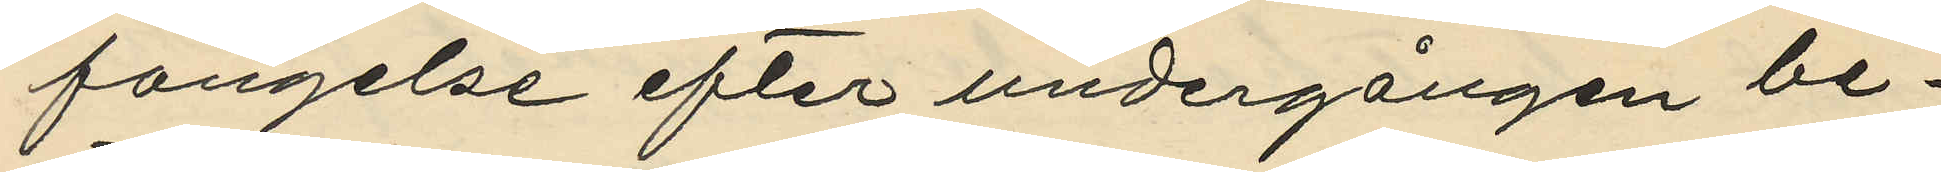fangelse efter undergången be¬
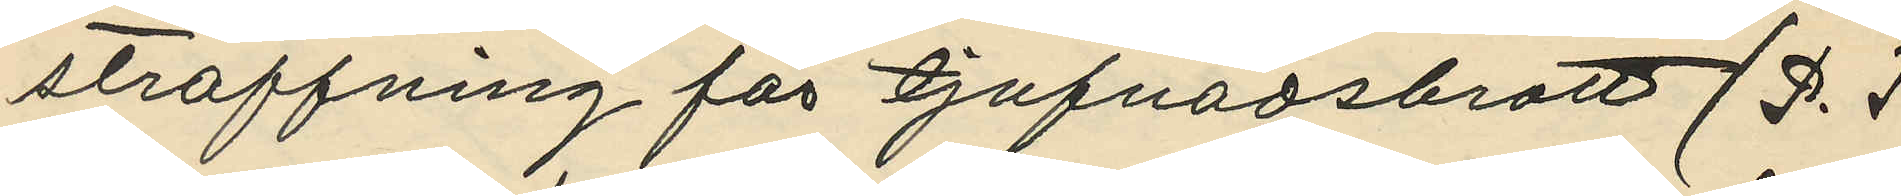straffning för tjufnadsbrott (P. T
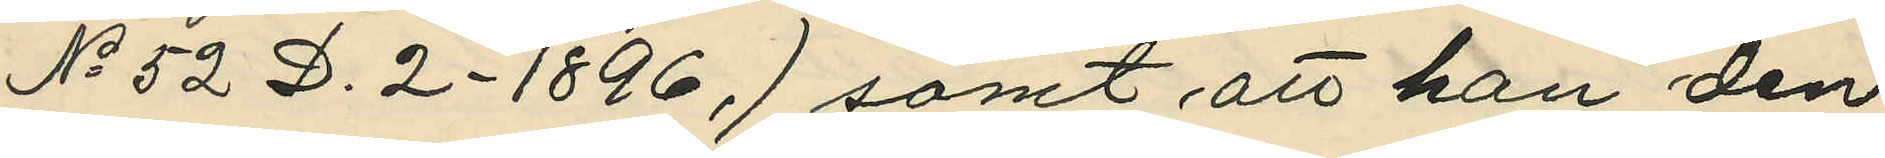No 52 D. 2 - 1896,) samt, att han den
